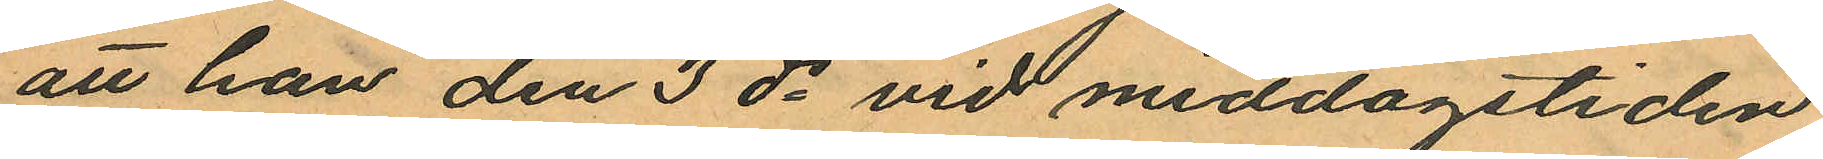att han den 3 ds vid middagstiden
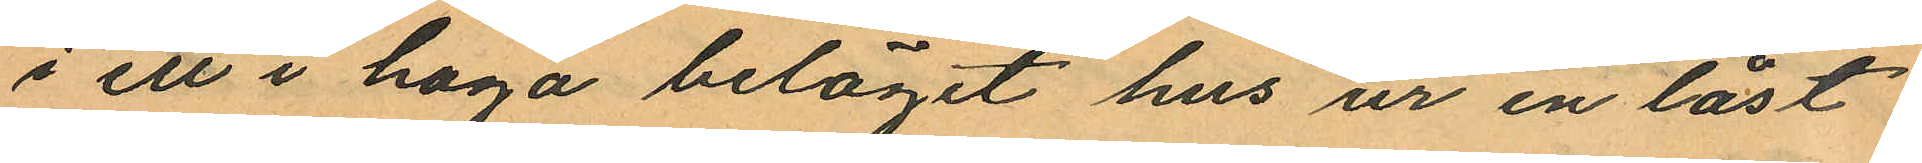i ett i haga beläget hus ur en låst
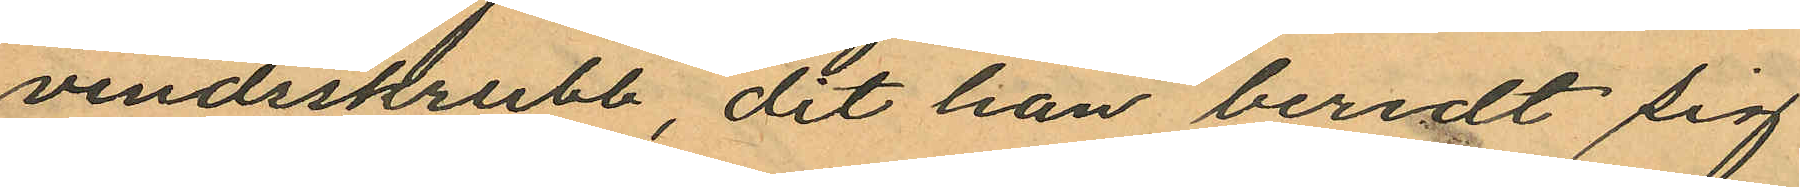vindsskrubb, dit han beredt sig
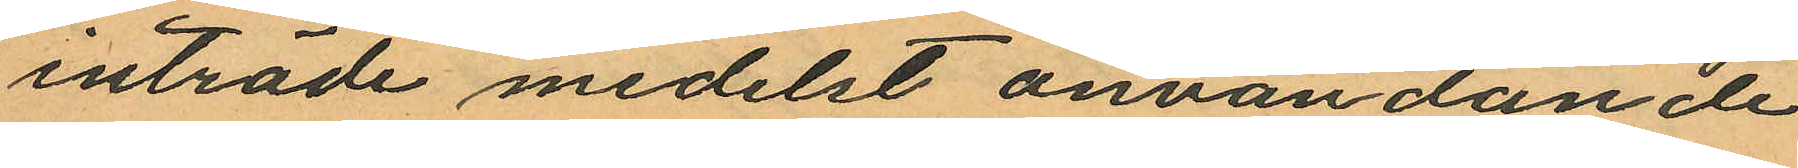inträde medelst användande
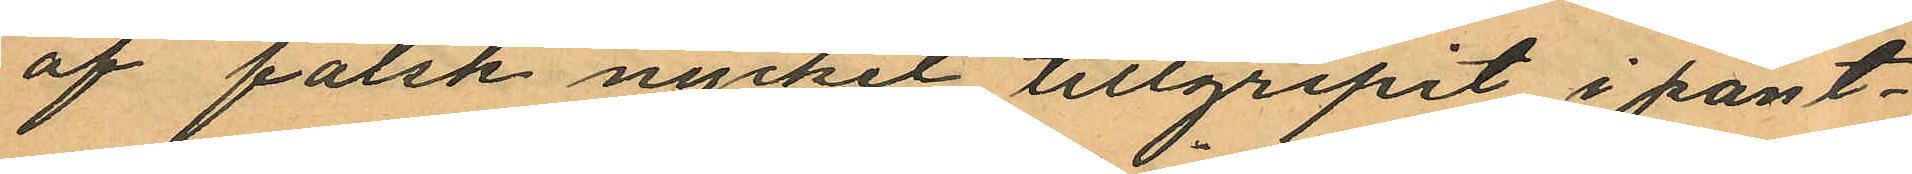af falsk nyckel tillgripit i pant¬
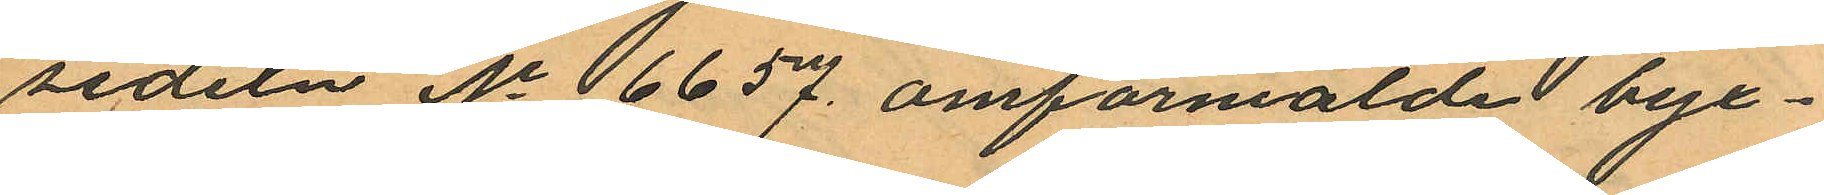sedeln No 6657. omförmälde byx¬
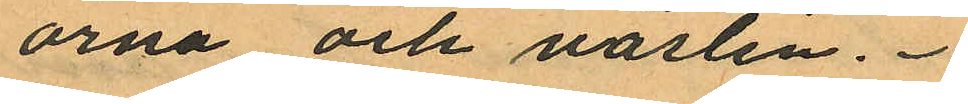orna och västen.
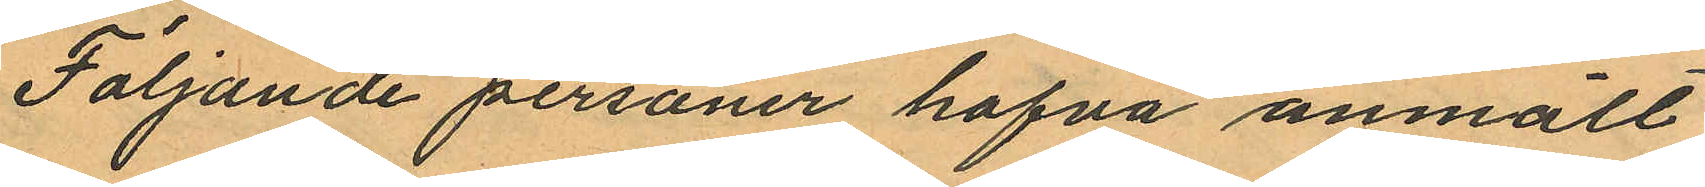Följande personer hafva anmält
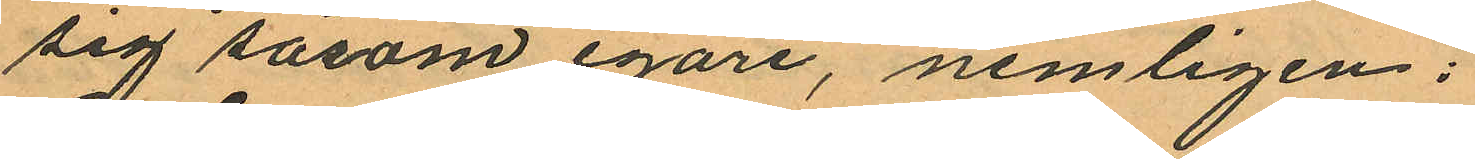sig såsom egare, nemligen:
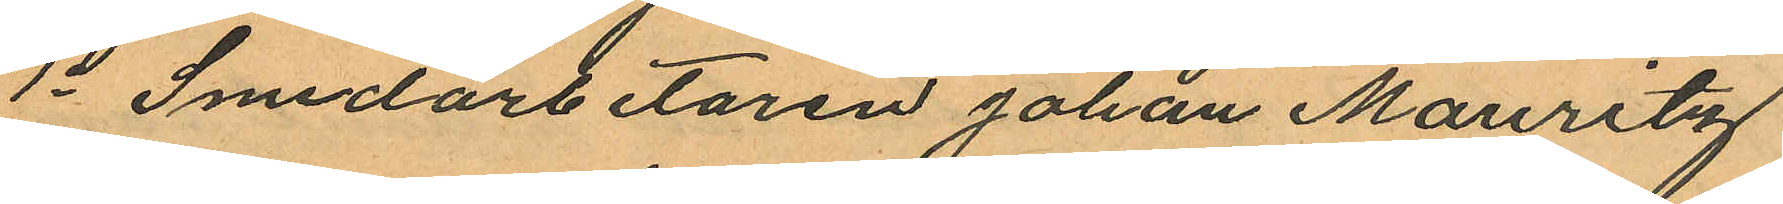1o Smedarbetaren Johan Mauritz
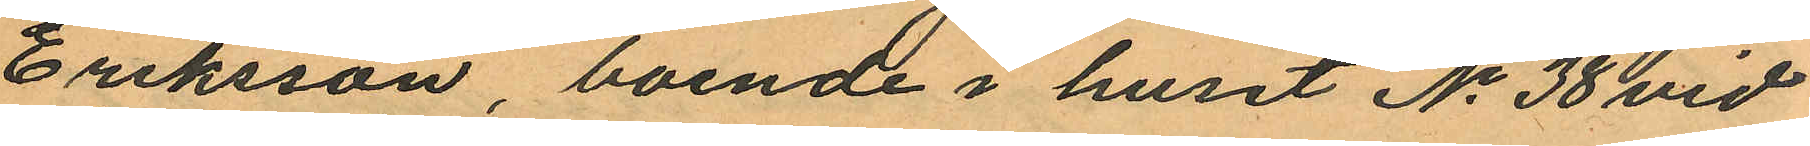Eriksson, boende i huset No 38 vid
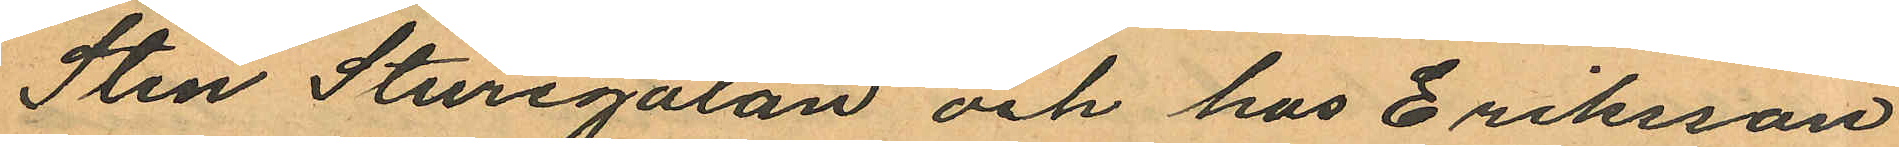Sten Sturegatan och hos Eriksson
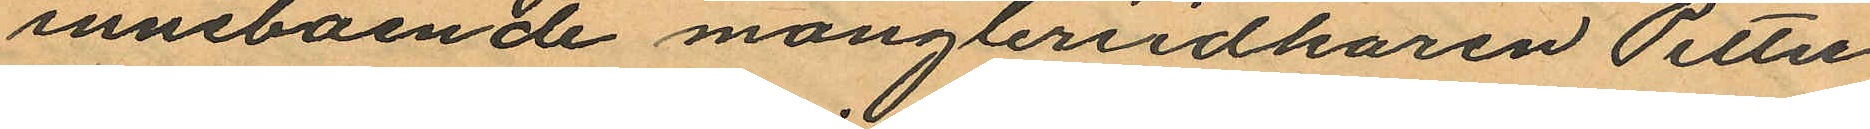inneboende mångleriidkaren Petter
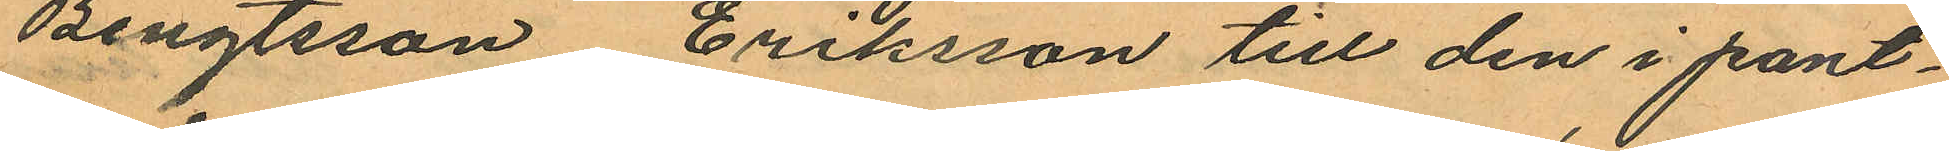Bengtsson, Eriksson till den i pant¬
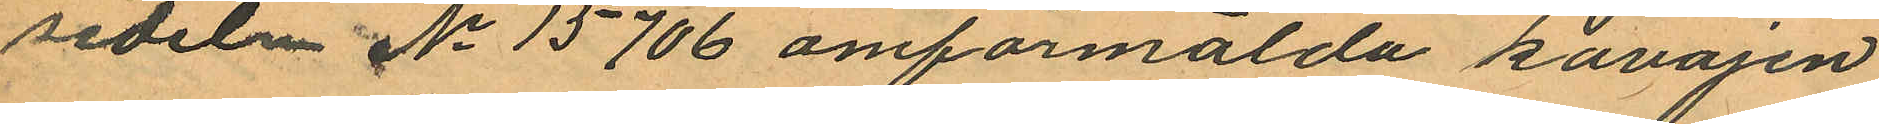sedeln No 15706 omförmälda kavajen
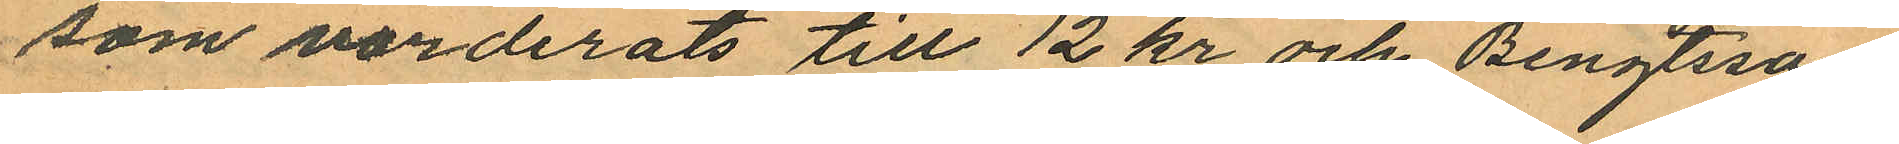som värderats till 12 kr och Bengtsson
